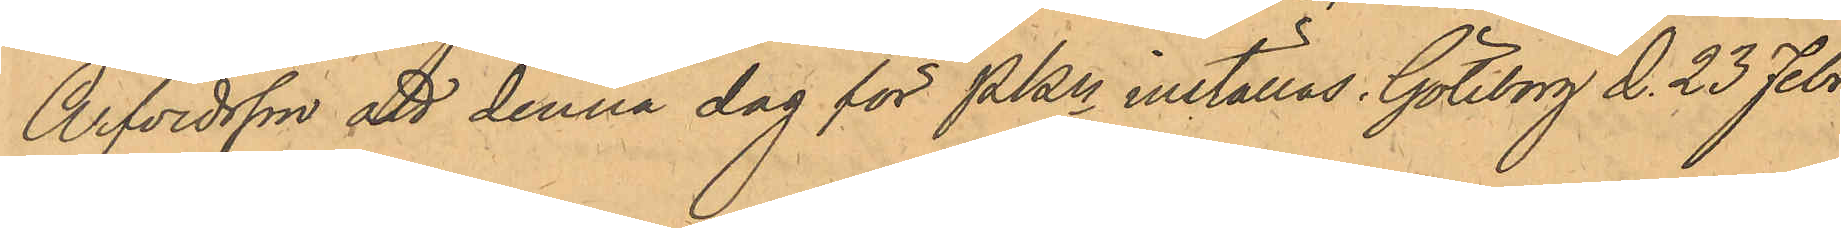Arfvidsson att denna dag för PKn inställas. Göteborg d. 23 Febr.
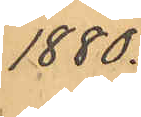1880.
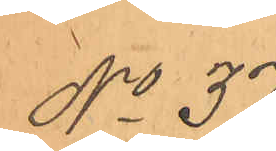No 37.
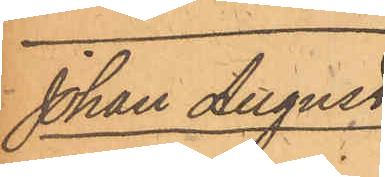Johan August
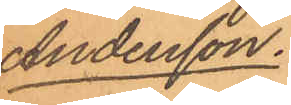Andersson.
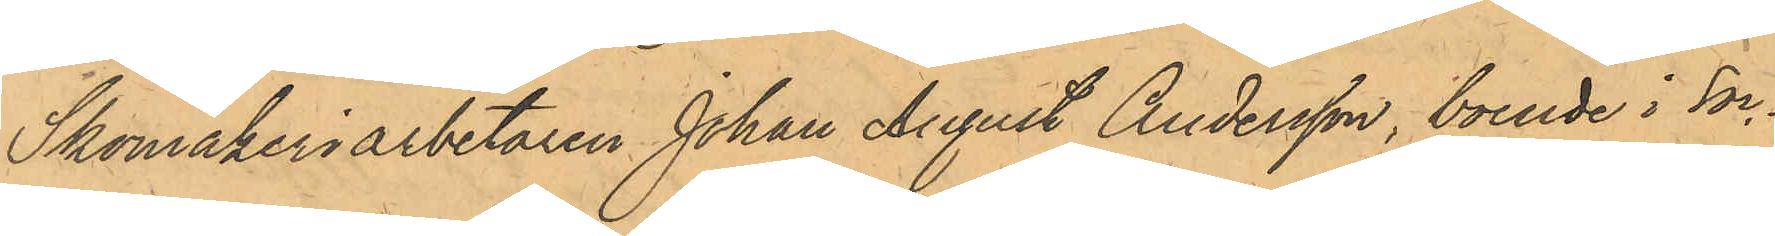Skomakeriarbetaren Johan August Andersson, boende i Soc¬
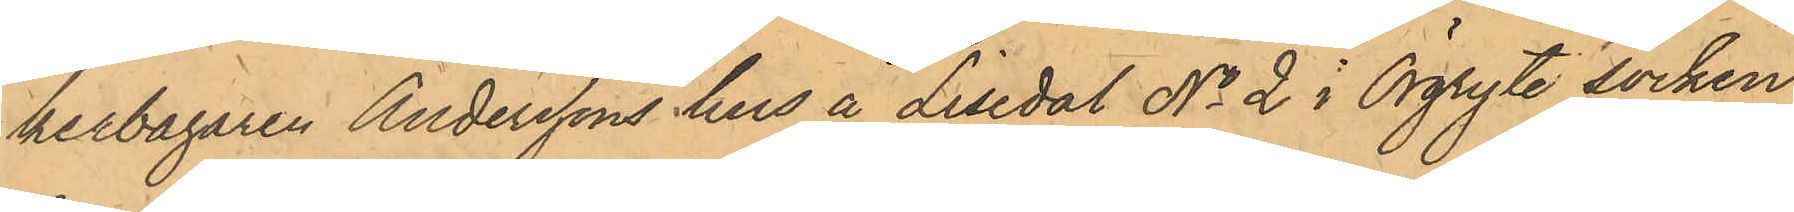kerbagaren Anderssons hus å Lisedal No 2 i Örgryte socken
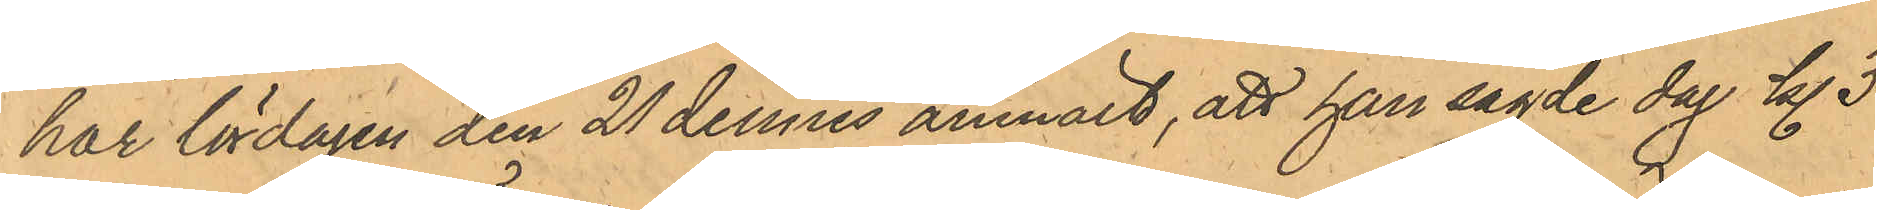har lördagen den 21 dennes anmält, att han sagde dag kl. 3
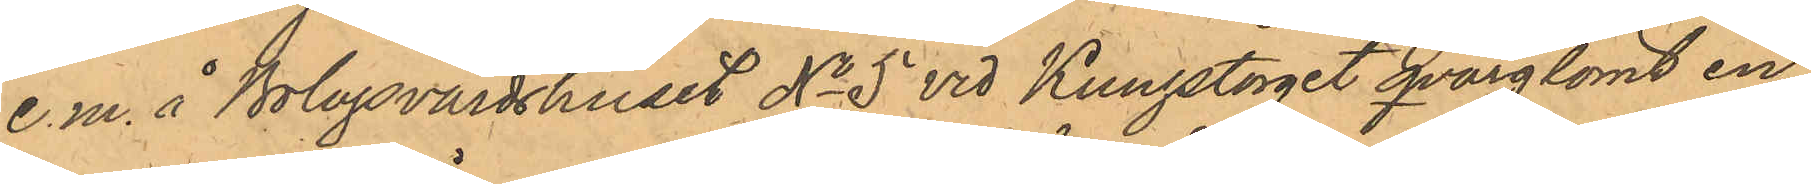e.m. å Bolagsvärdshuset No 5 vid Kungstorget qvarglömt en
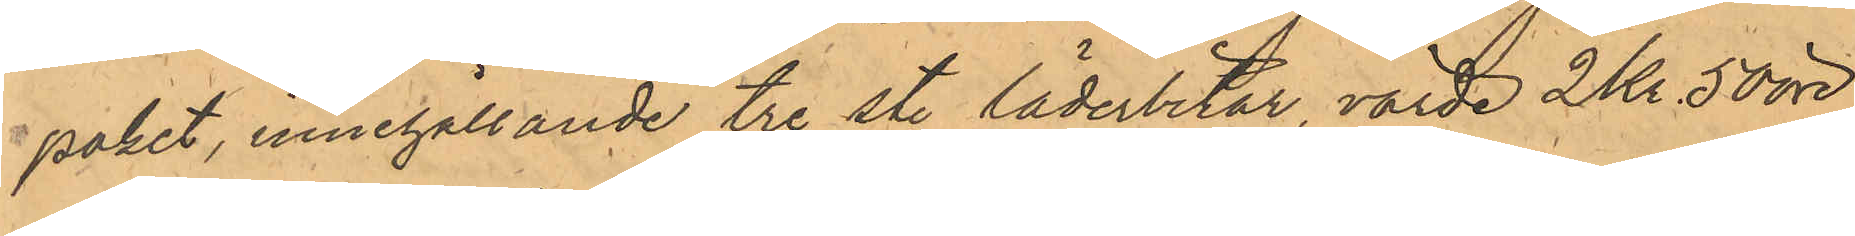paket, innehållande tre st. läderbitar, värde 2 Kr. 50 öre
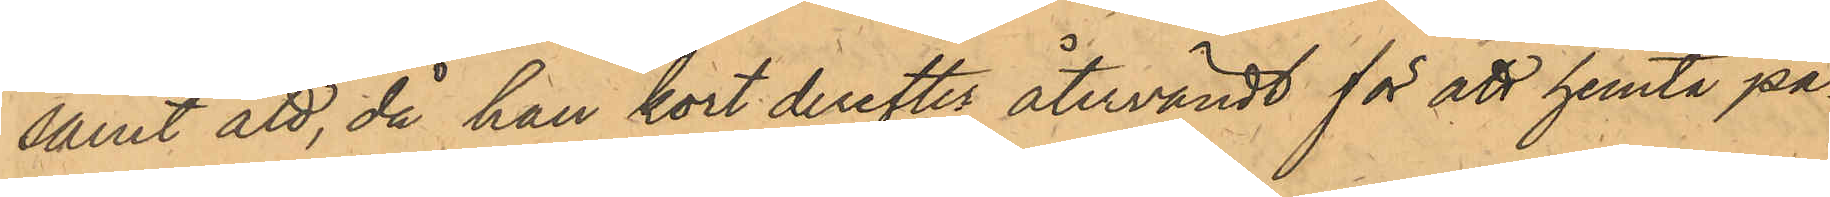samt att, då han kort derefter återvändt för att hemta pa¬
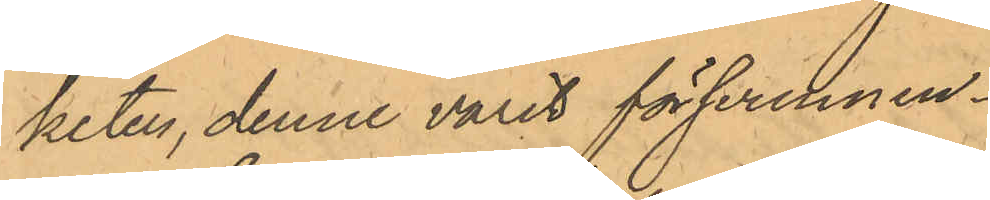keten, denne varit försvunnen.
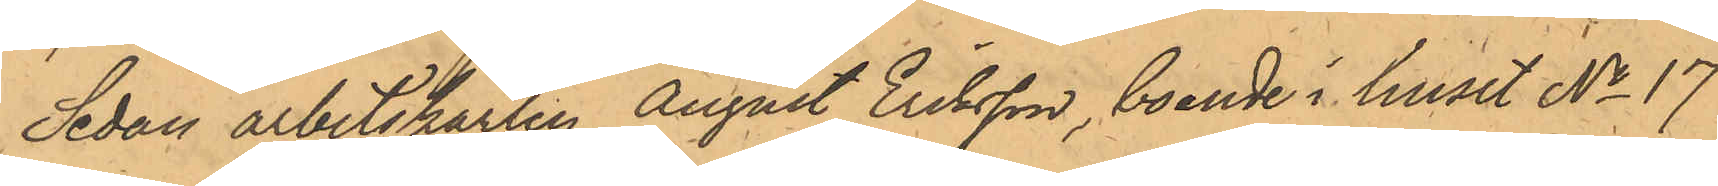Sedan arbetskarlen August Eriksson, boende i huset No 17
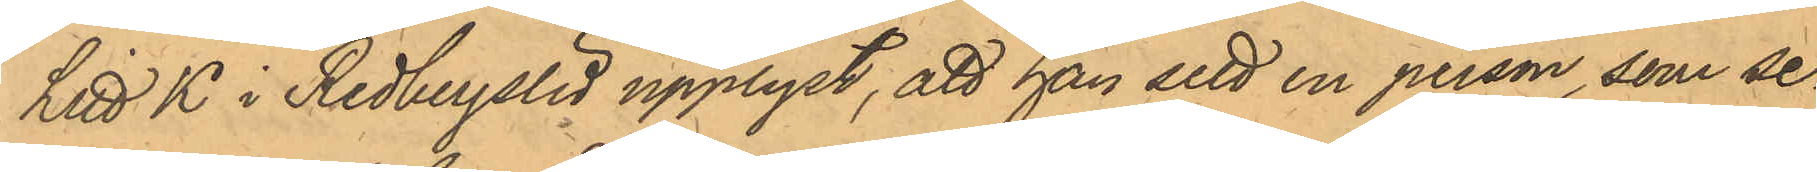Litt K i Redbergslid upplyst, att han sett en person, som se¬
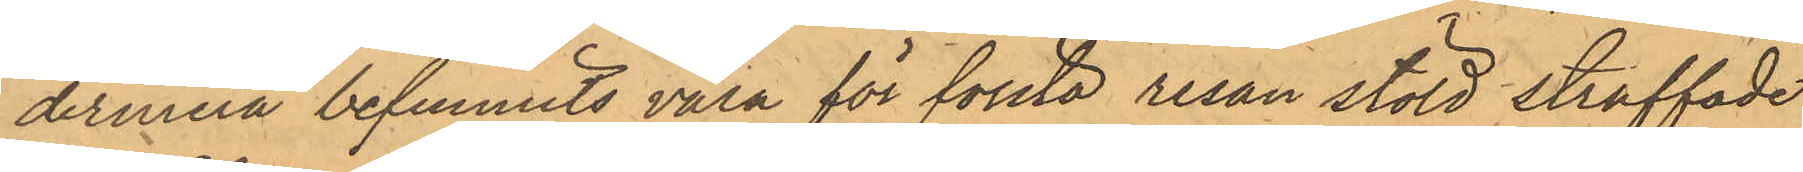dermera befunnits vara för första resan stöld straffade
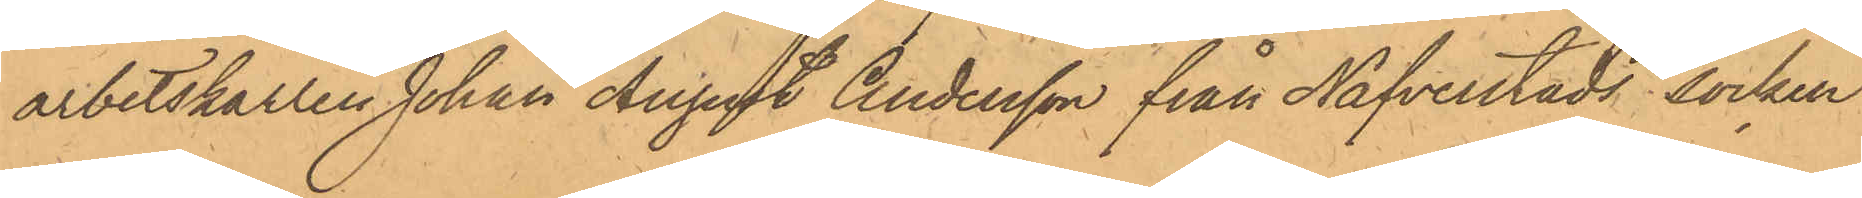arbetskarlen Johan August Andersson från Nafverstads socken
